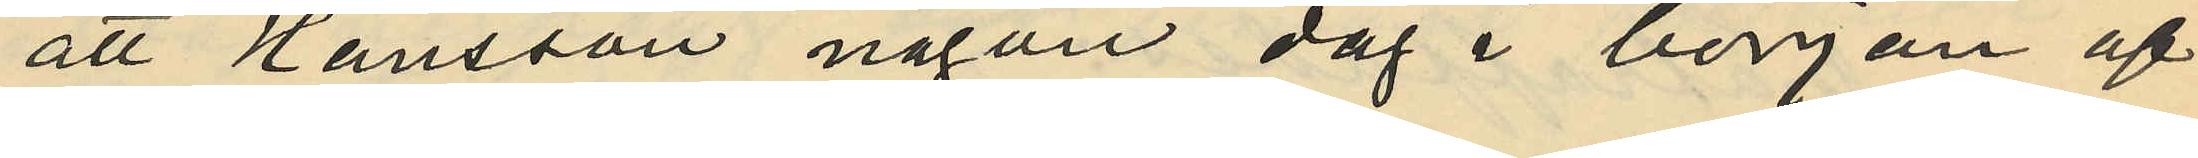att Hansson någon dag i början af
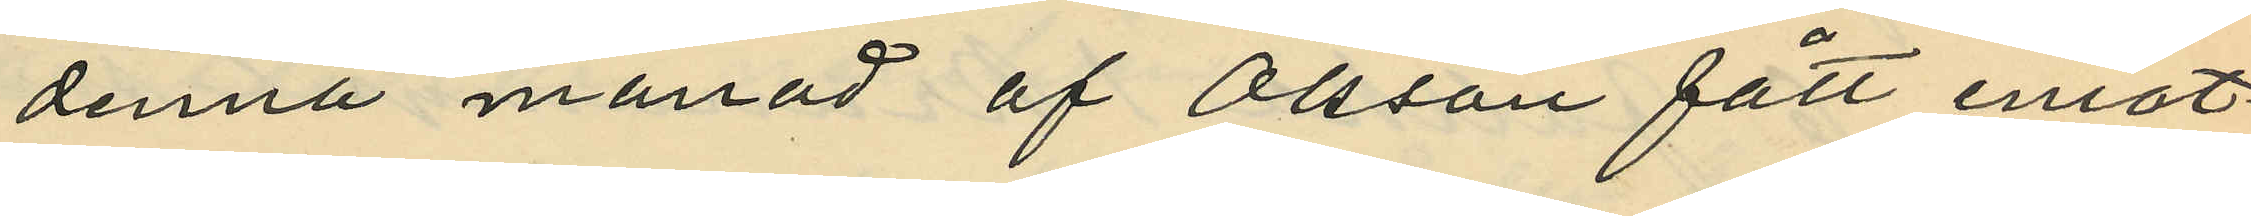denna månad af Olsson fått emot¬
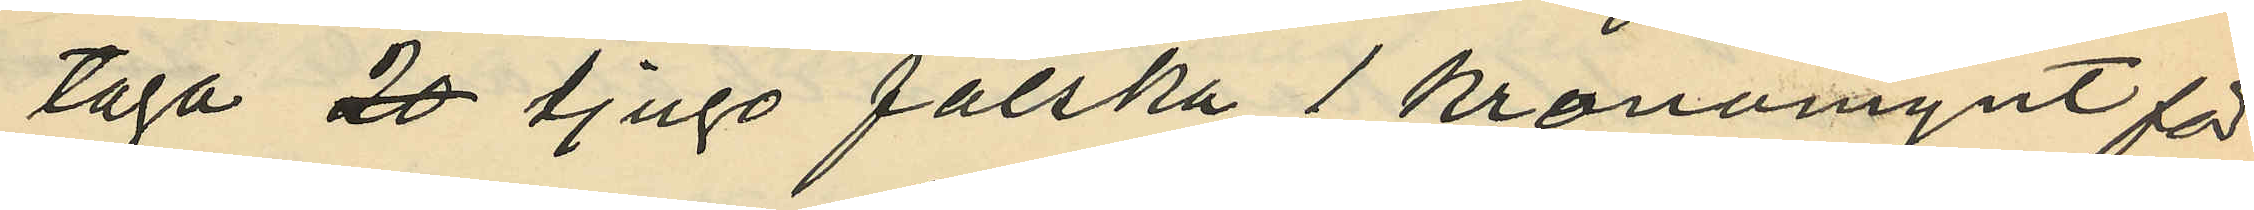taga tjugo falska 1 kronomynt för
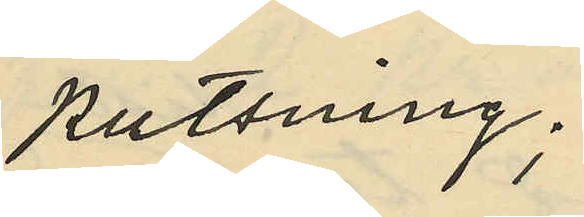putsning;
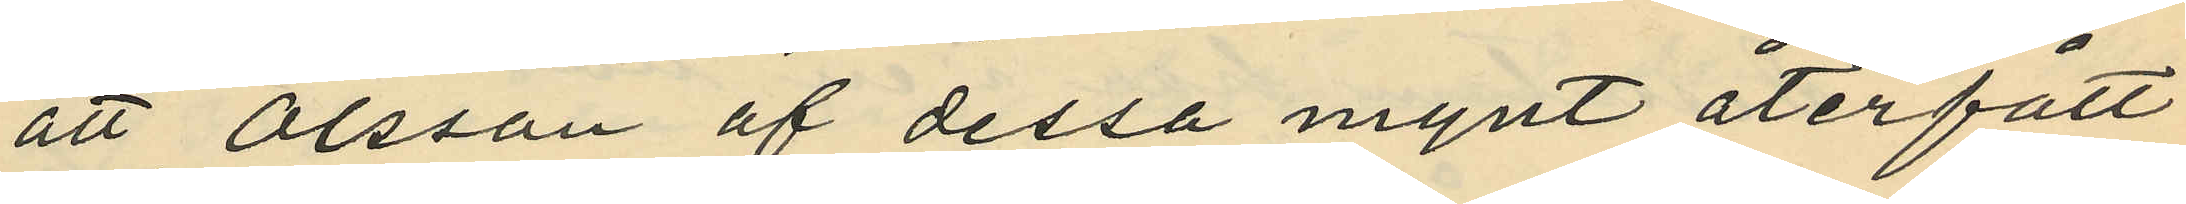att Olsson af dessa mynt återfått
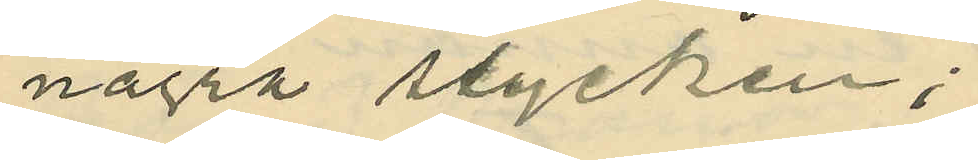några stycken;
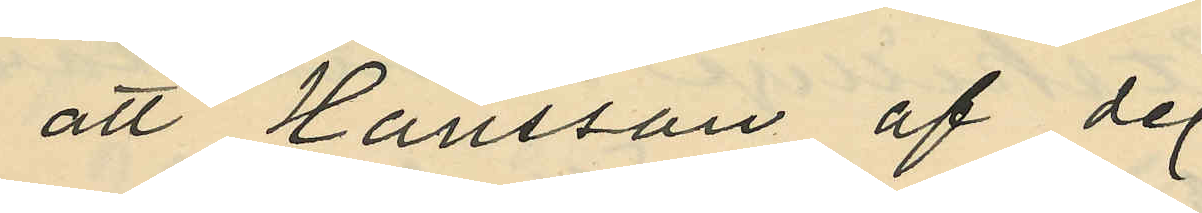att Hansson af de
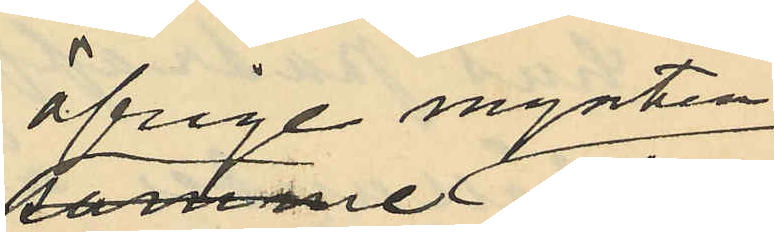öfriga mynten
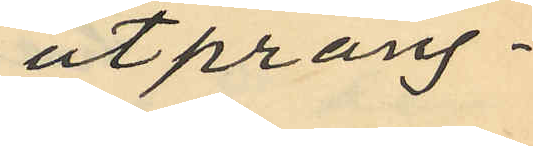utprång¬
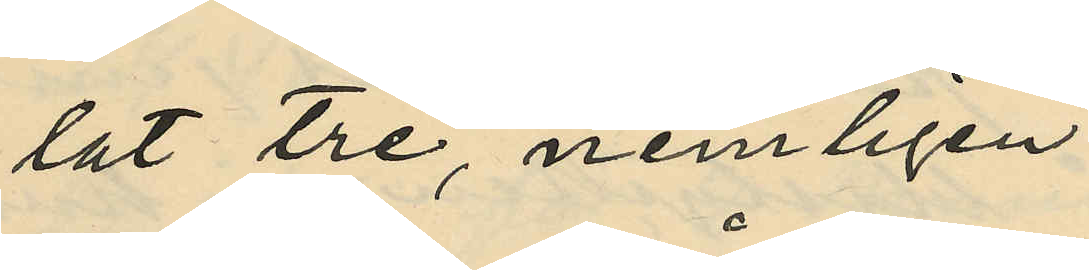lat tre, nemligen
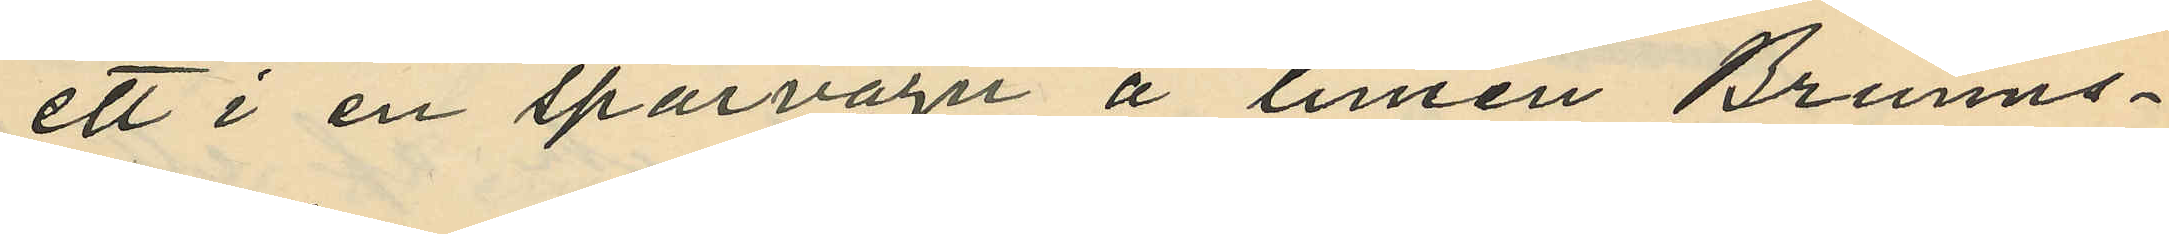ett i en spårvagn å linien Brunns¬
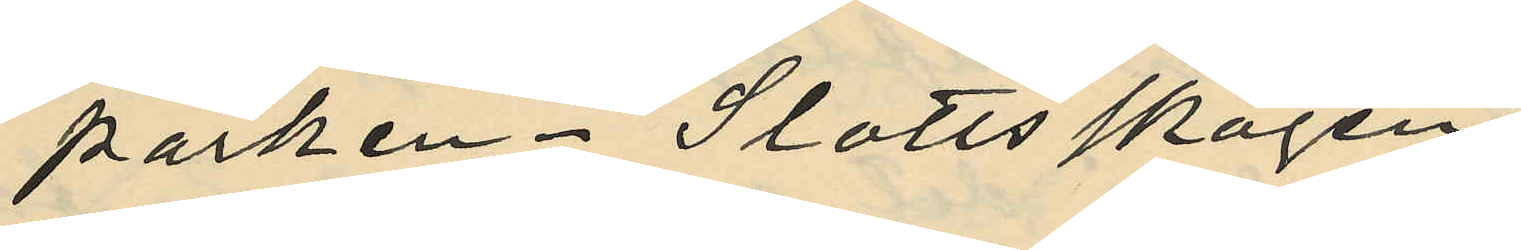parken - Slottsskogen,
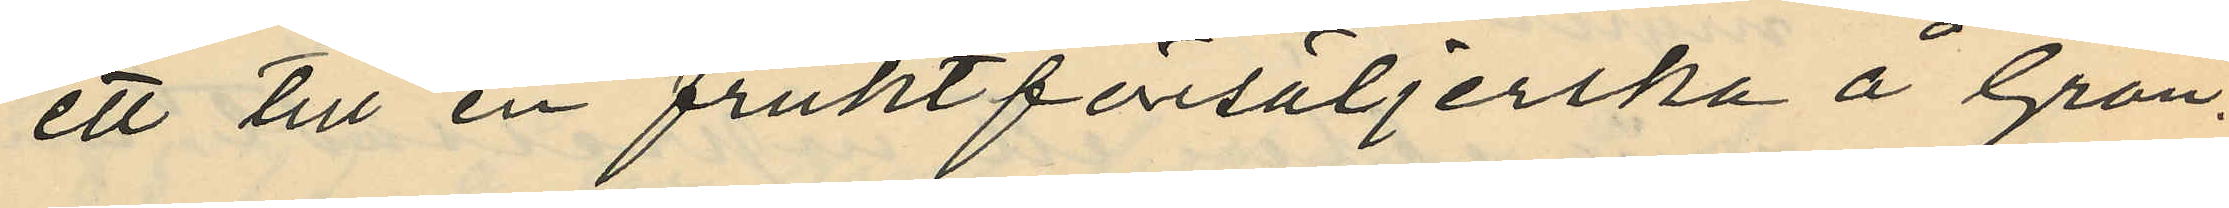ett till en fruktförsäljerska å Grön¬
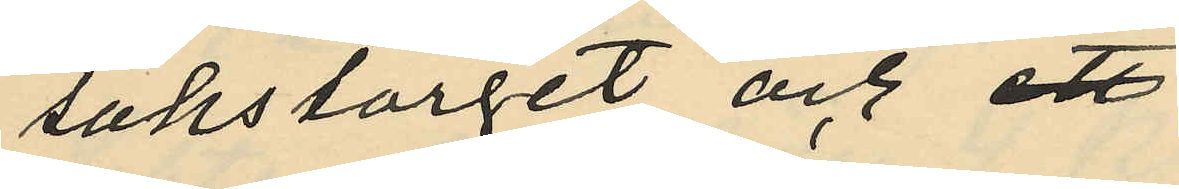sakstorget och
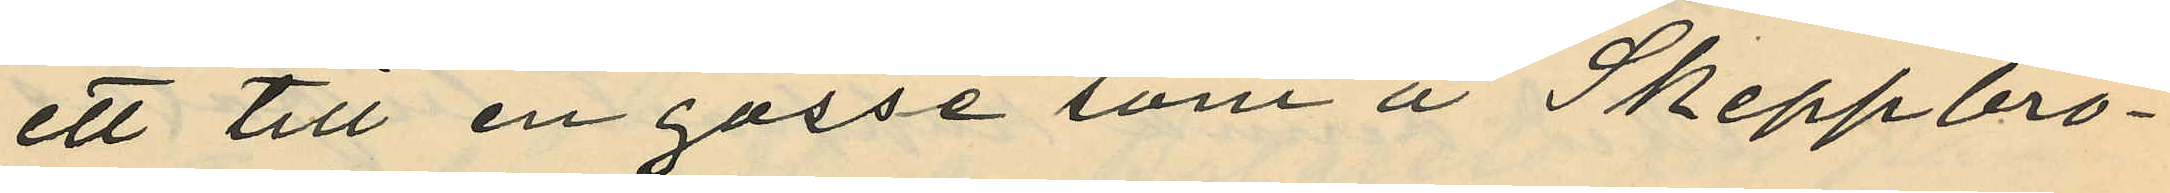ett till en gosse som å Skeppbro¬
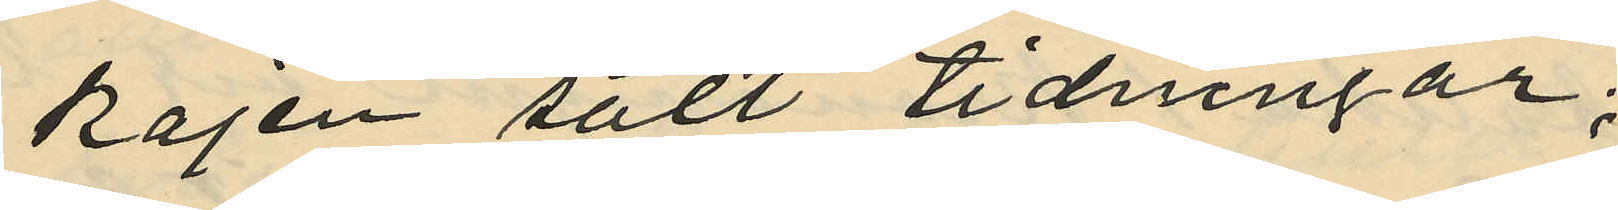kajen sålt tidningar;
